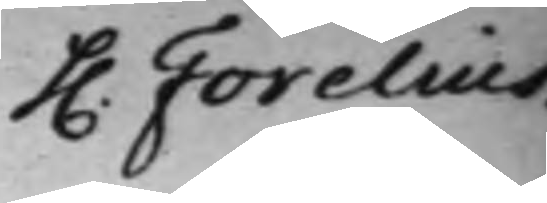h. Forelius.
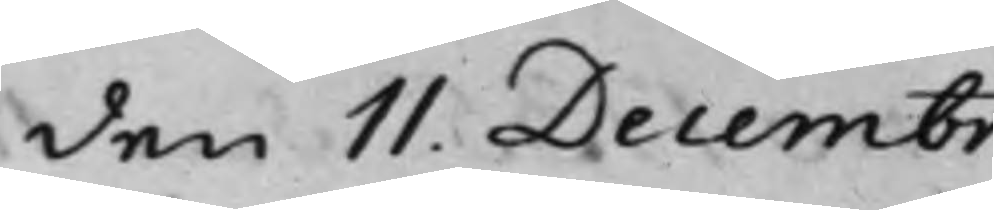den 11. Decembr.
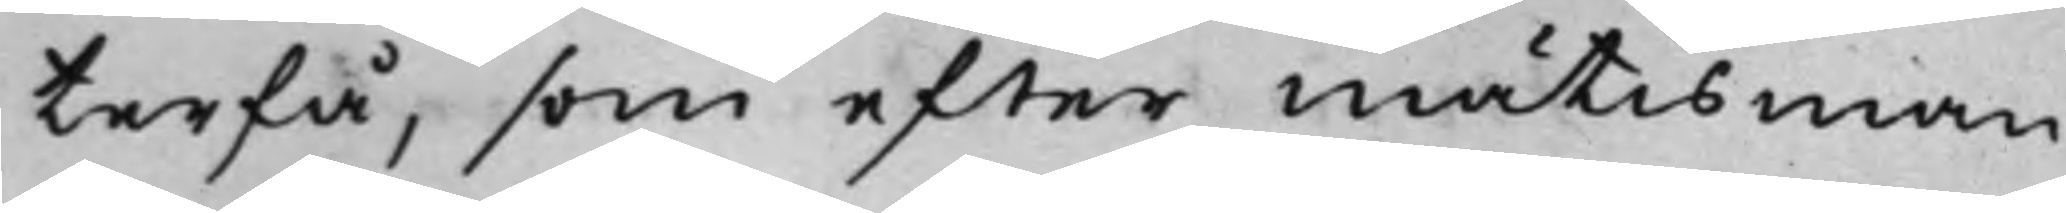terfå, som efter mätisman¬
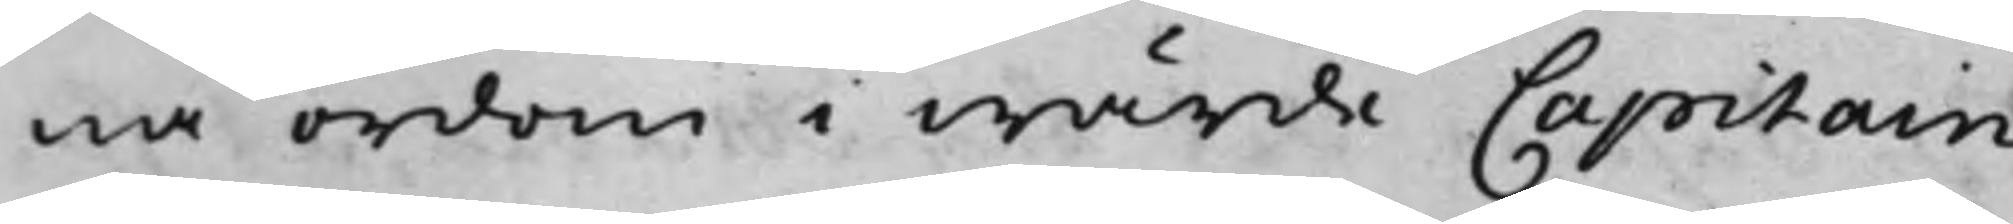na ordom i wärde Capitain
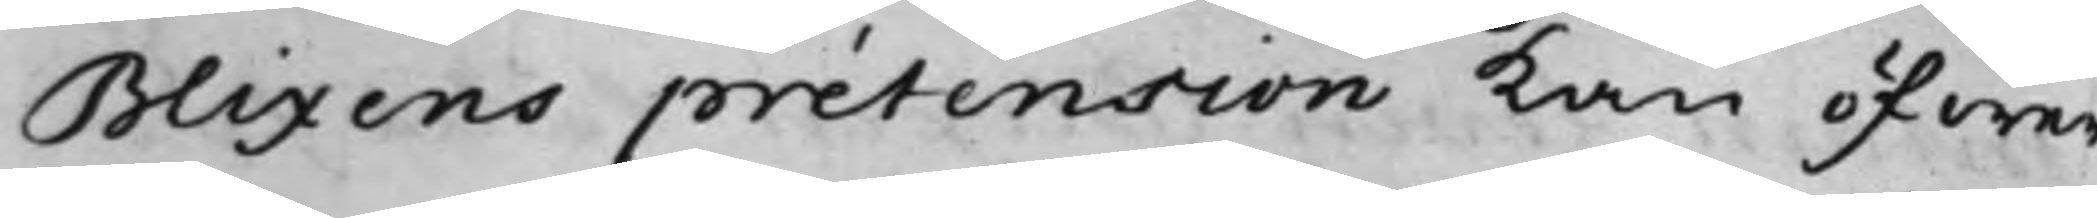Blixens prætension kan öfwer¬
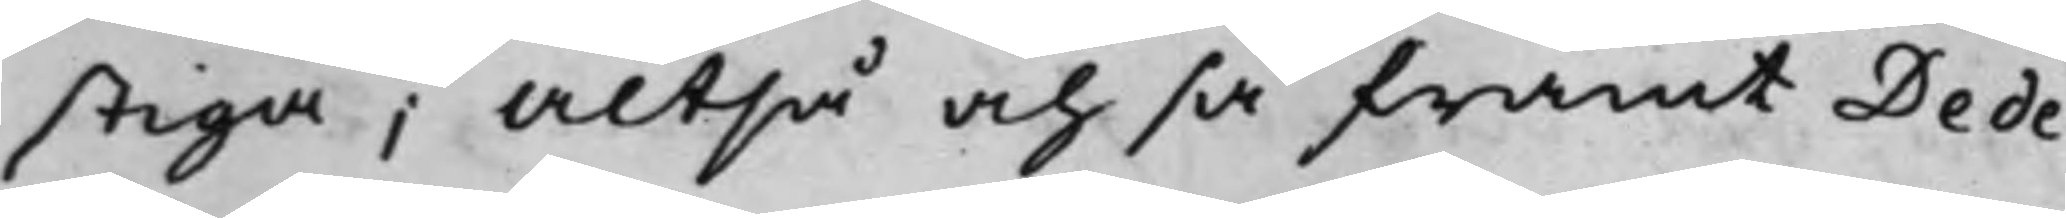stiga; Altså och så framt Dede¬
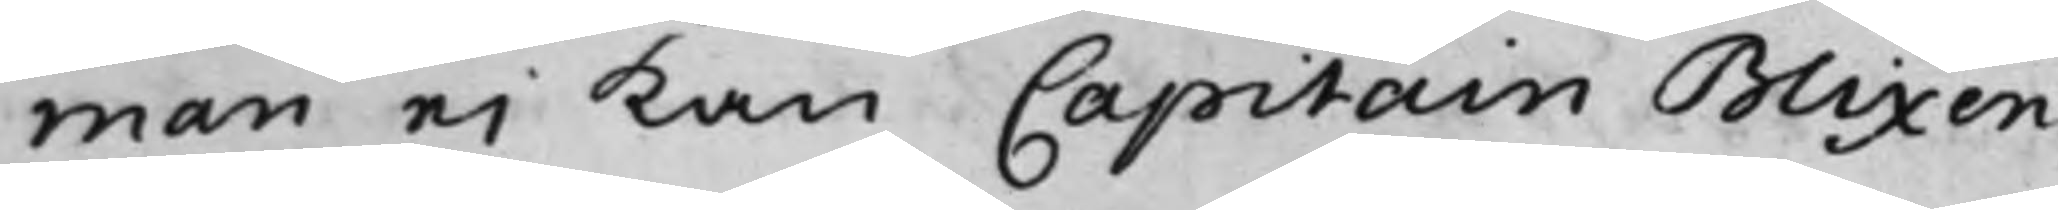man ei kan Capitain Blixen
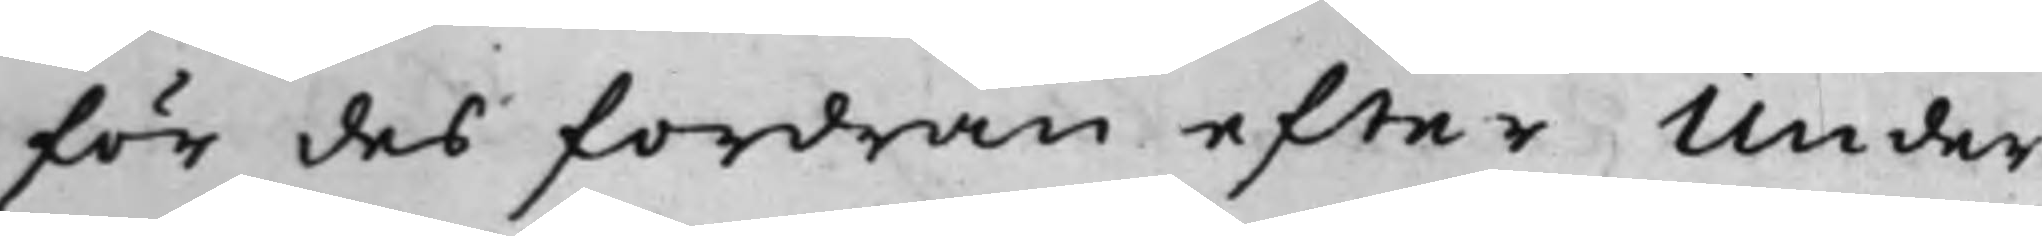för des fordran, efter Under¬
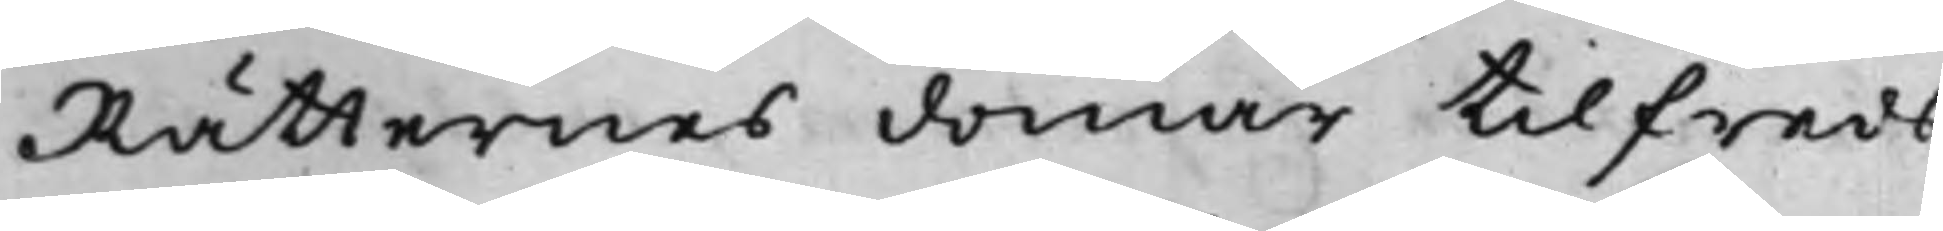Rätternes domar tilfreds¬
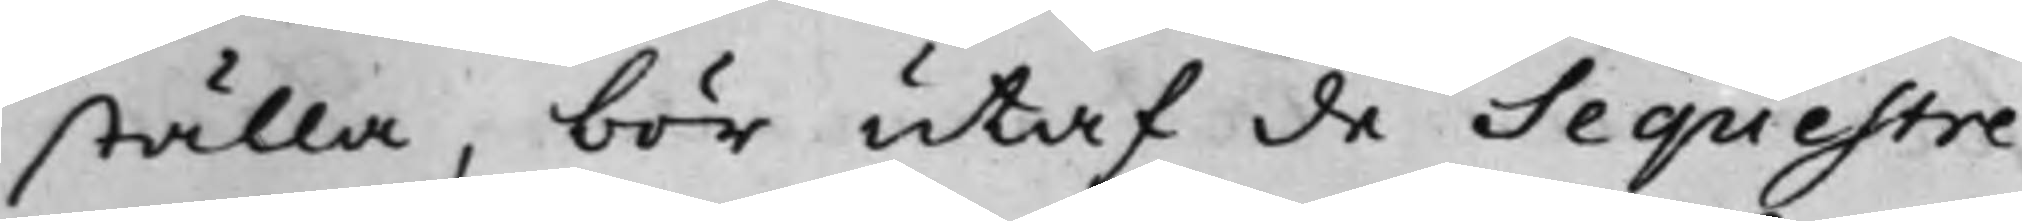ställa, bör utaf de Sequestre¬
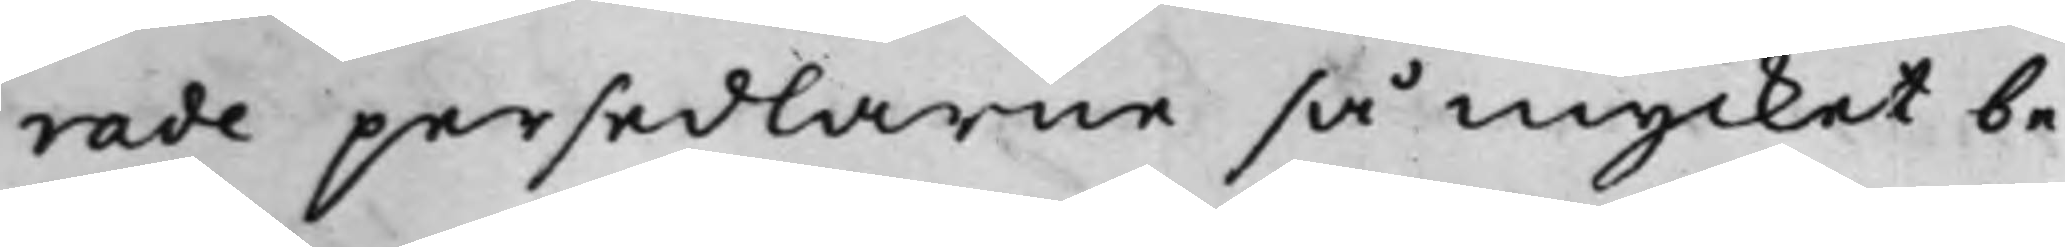rade persedlarne så mycket be¬
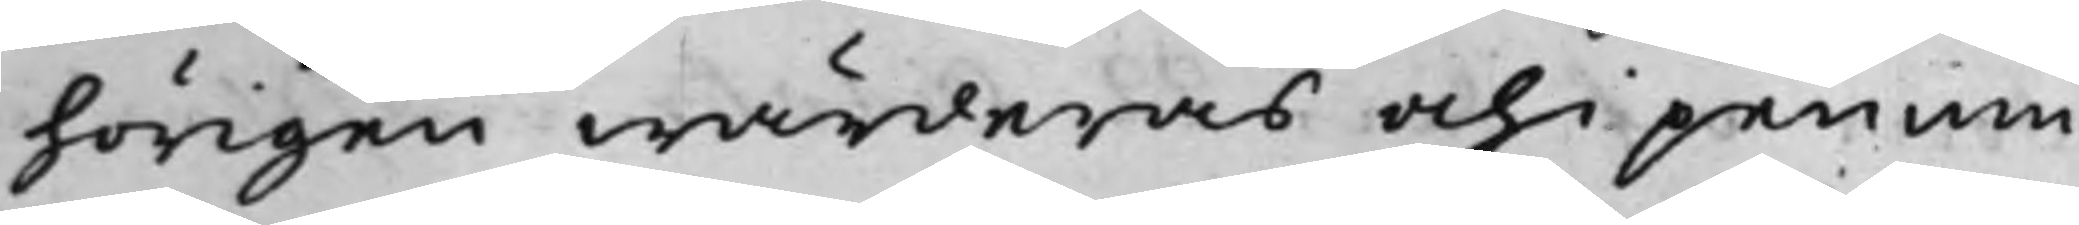hörigen wärderas och i pennin¬
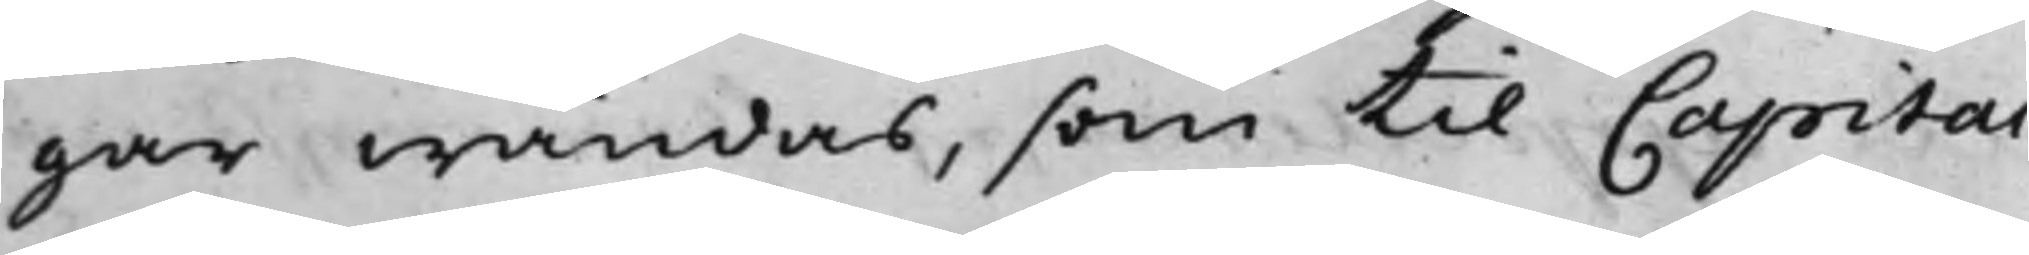gar wändas, som till Capitai¬
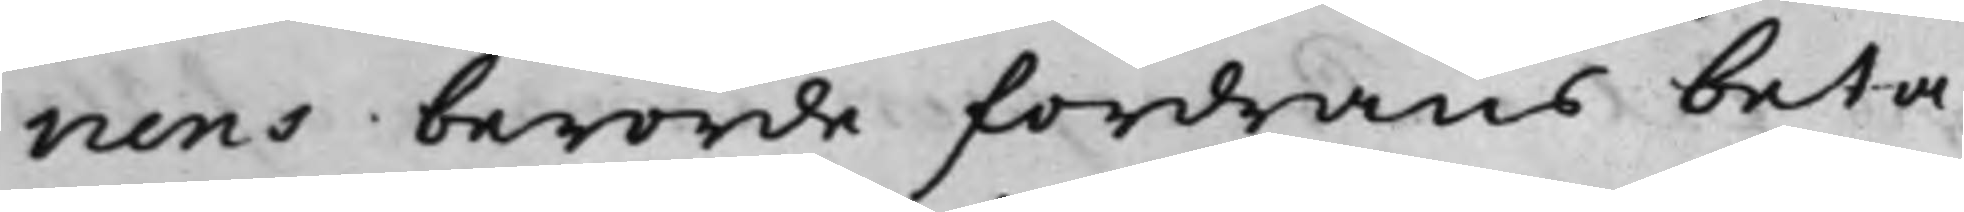nens berörde fordrans beta¬
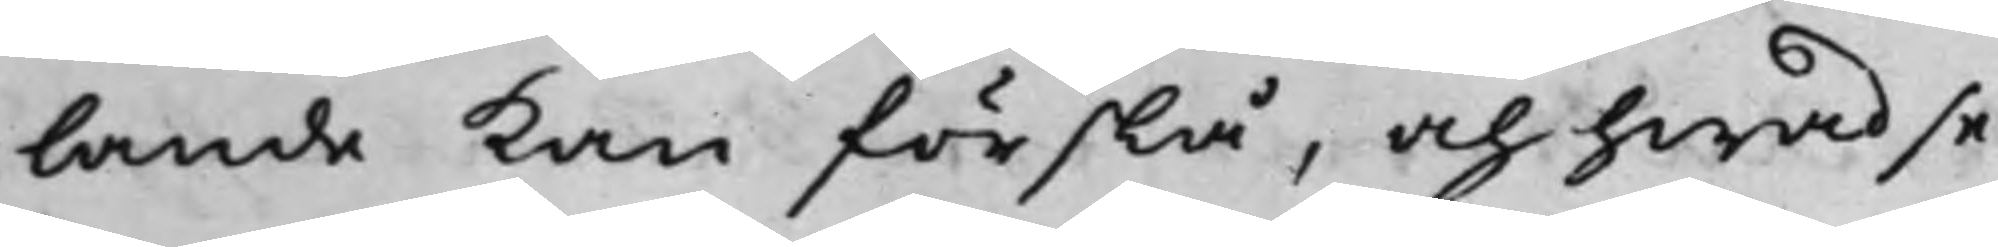lande kan förslå, och hwad se¬
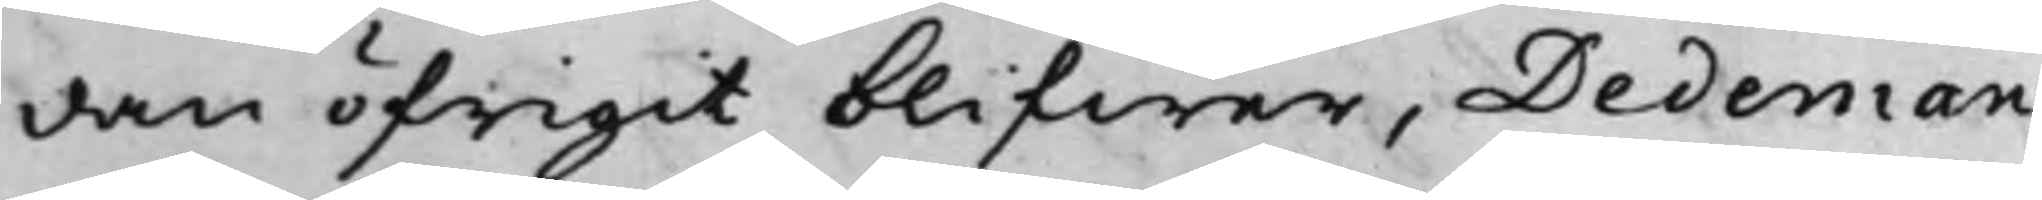dan öfrigit blifwer, Dedeman
